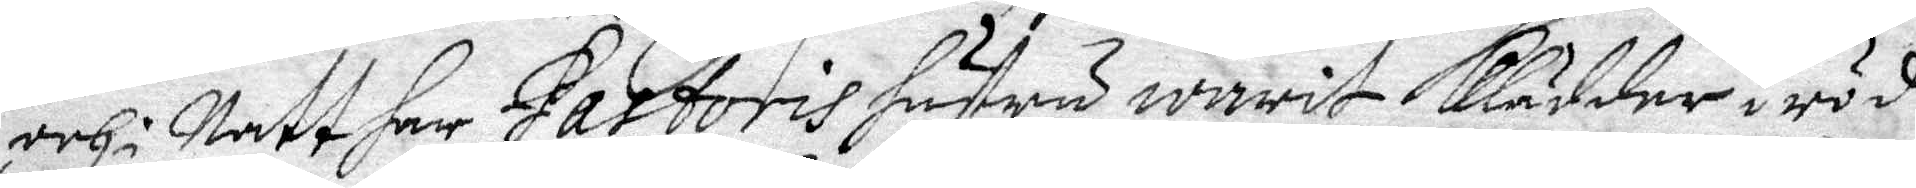och i Natt har Pastoris hustru warit klädder i röd
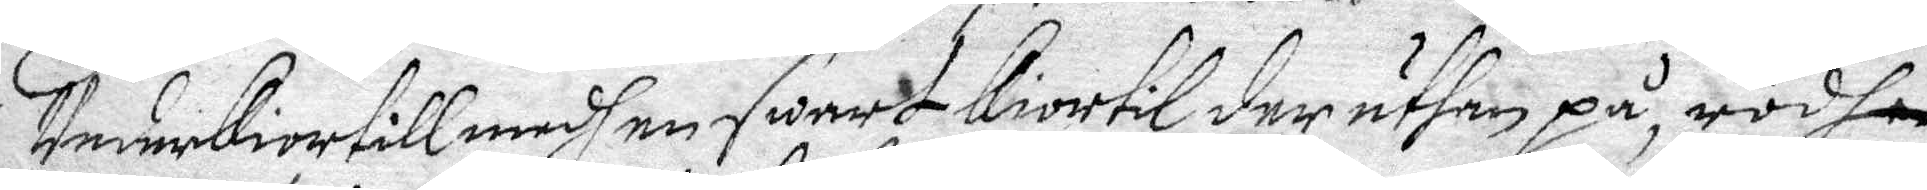Underkiortill med en swart kiortil der uthan på, rödh
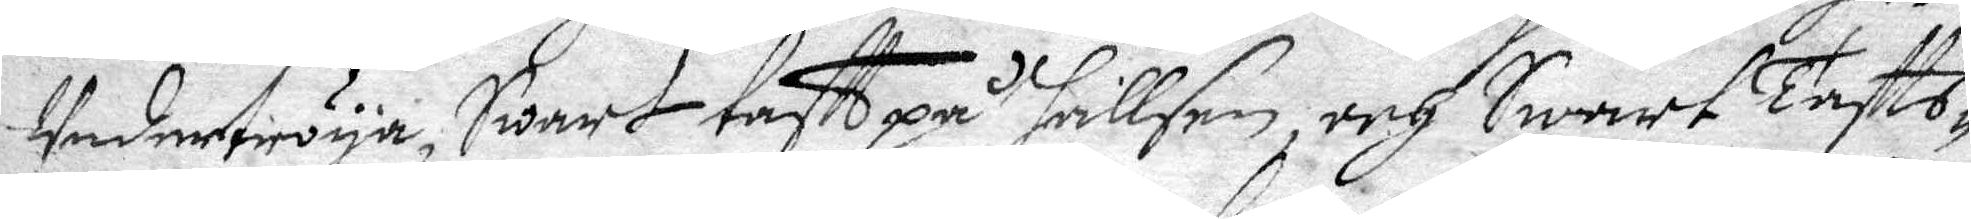Undertröya, Swart taftt på hallsen, och Swart Taftts¬
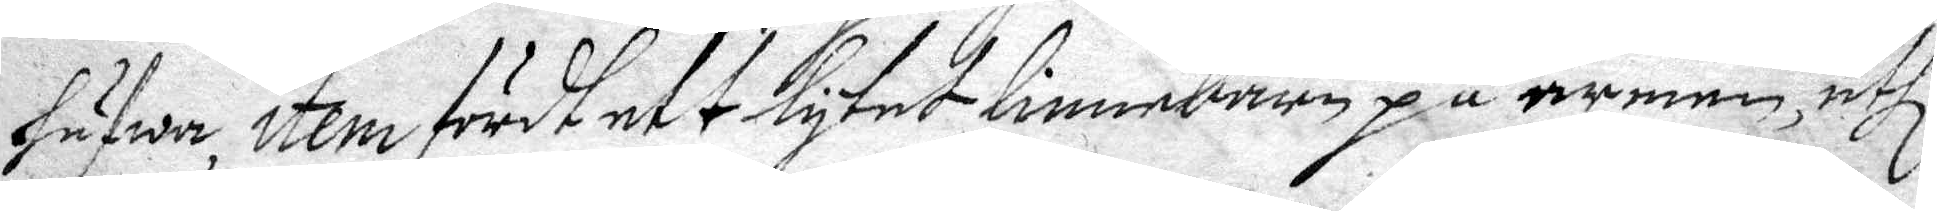hufwa, item fört ett lytet linnebarn på armen, uthi
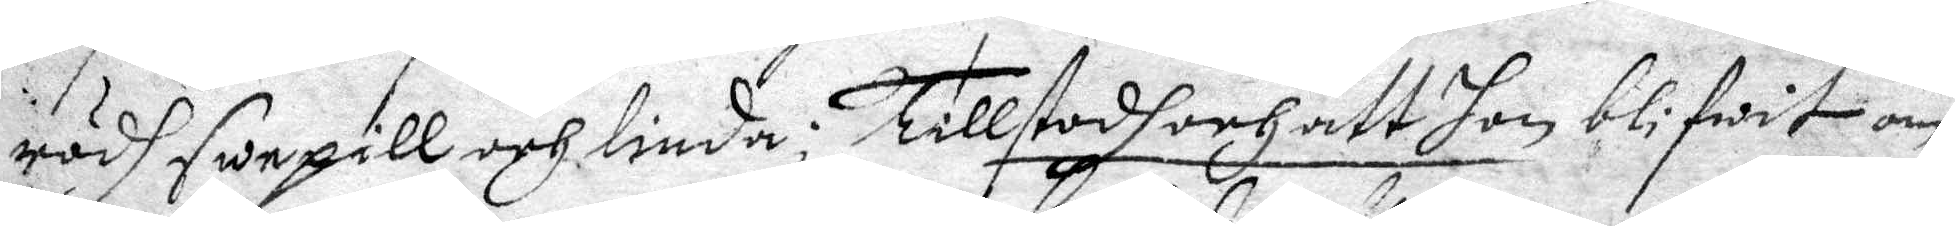rödh swepill och linda. Tillstodh att hon blifwit om¬
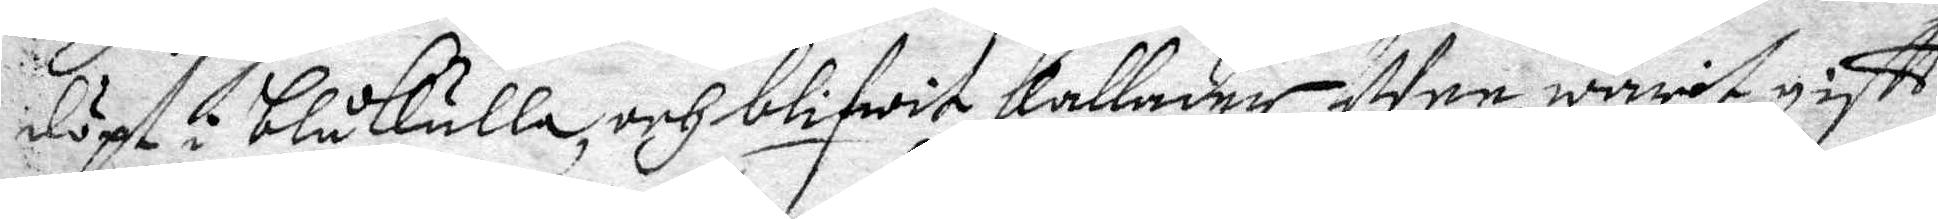döpt i blåkulla, och blifwit kallader Wee, warit gift
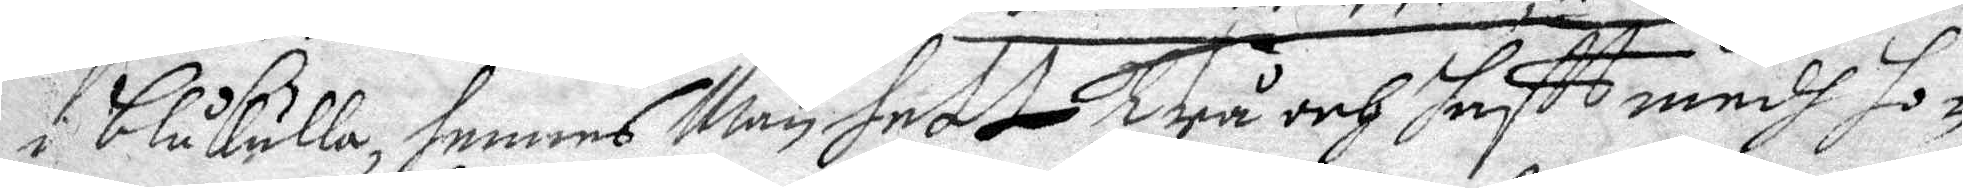i blåkulla, hennes Man hett Trå och haftt medh ho¬
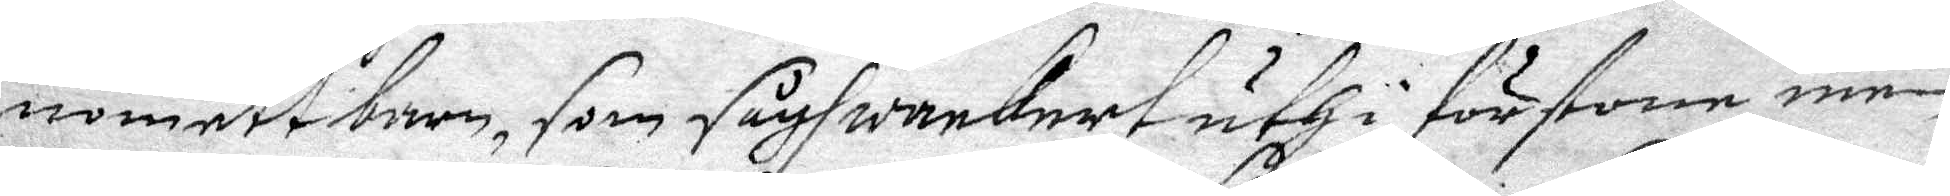nom ett barn, som sågh wackert uth i förstone, men
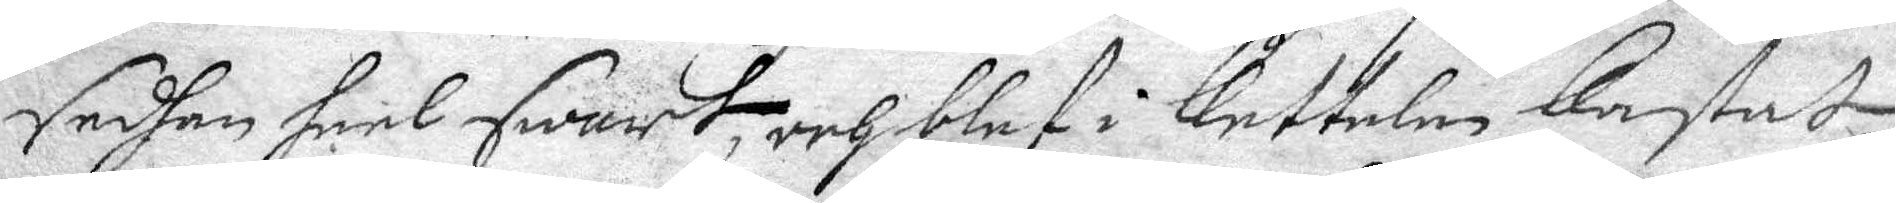sedhan heel swart, och blef i kutteln kastat
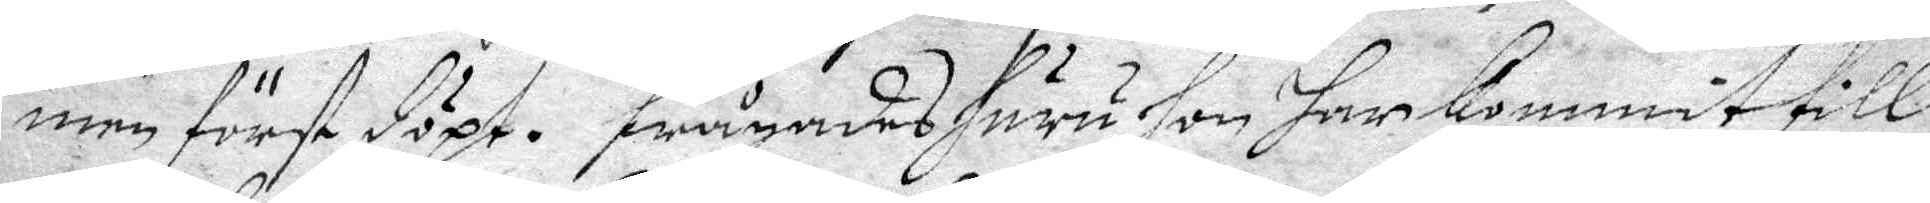men först döpt. Frågades huru hon haar kommit till
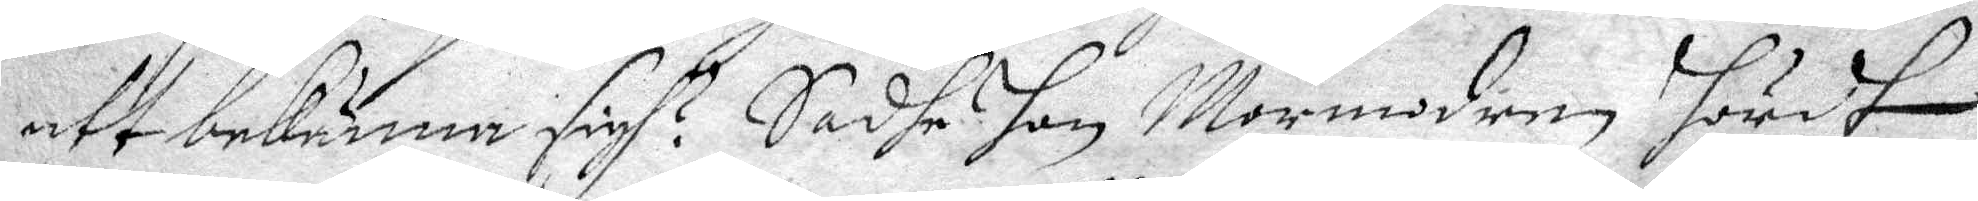att bekiänna sigh? Sadhe hon Mormodern hördt
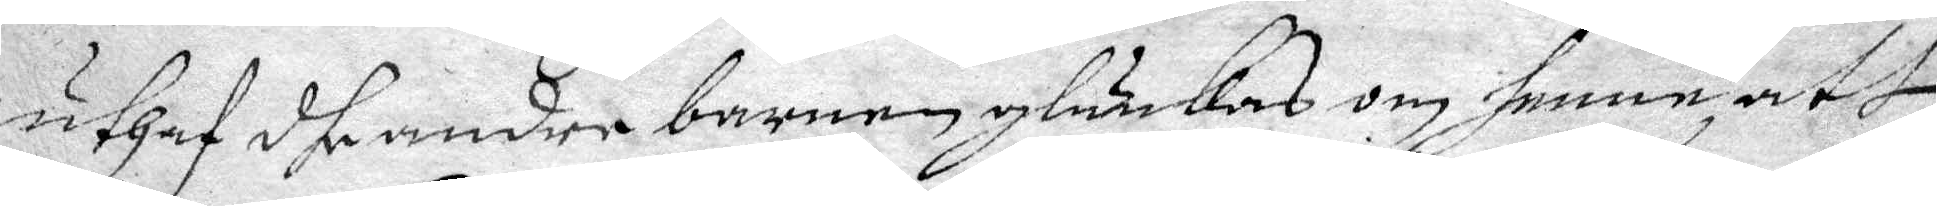uthaf dhe andre barnen glunkas om henne, att
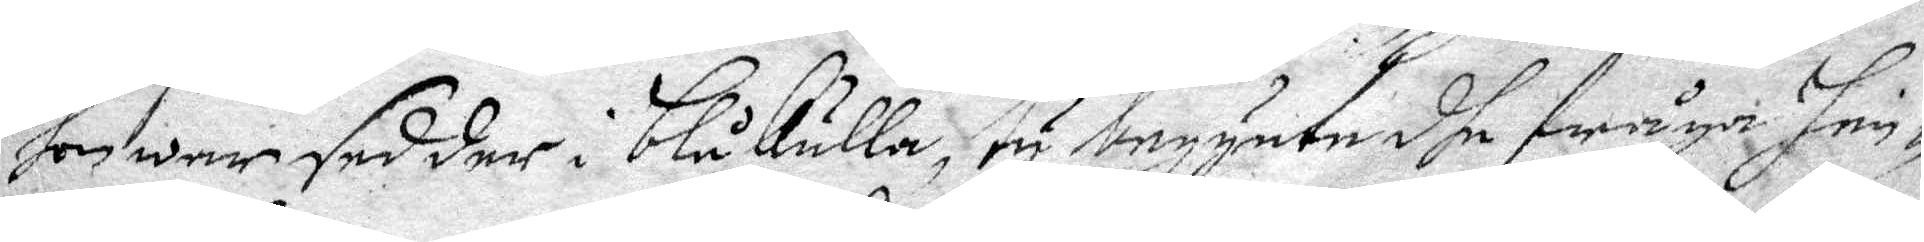hon war sedder i blåkulla, ty begynte dhe fråga hen¬
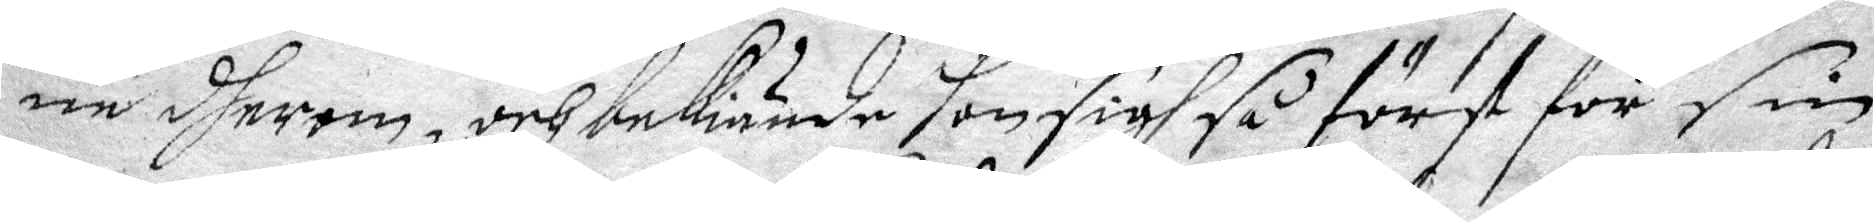ne dherom, och bekiände hon sigh så först för sin
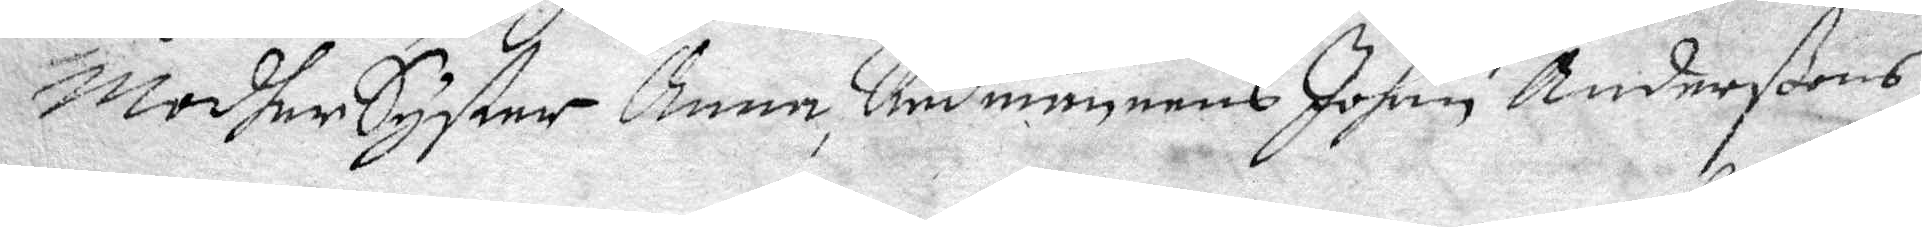Modher Syster Anna, Rådmannens Johan Anderßons
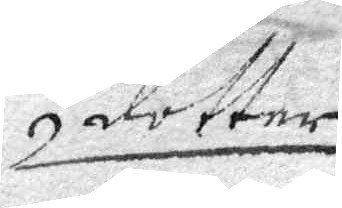dotter
